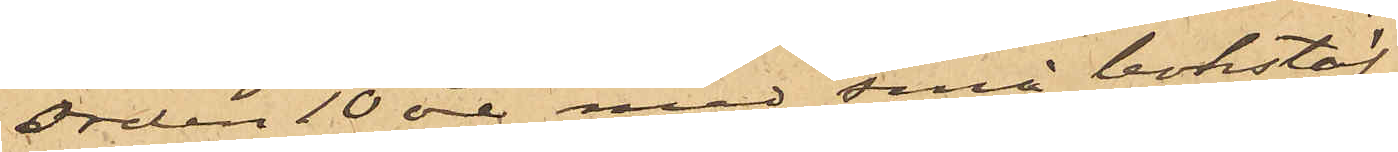orden 10 öre med små bokstäf¬
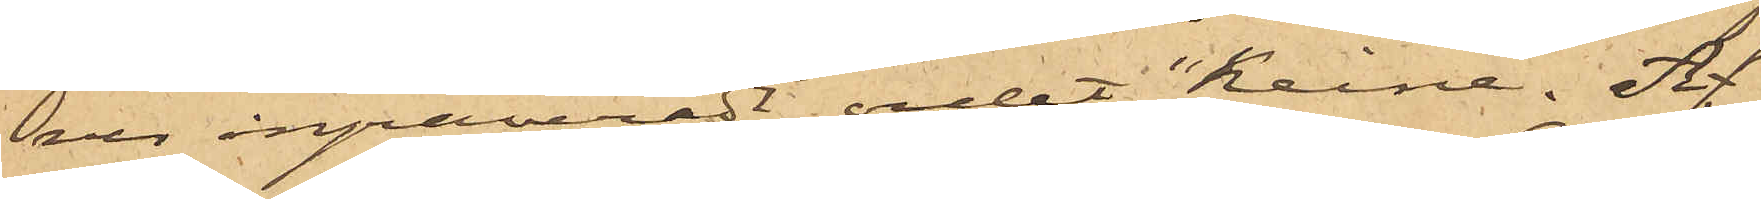ver ingraveradt ordet "Keine". Af
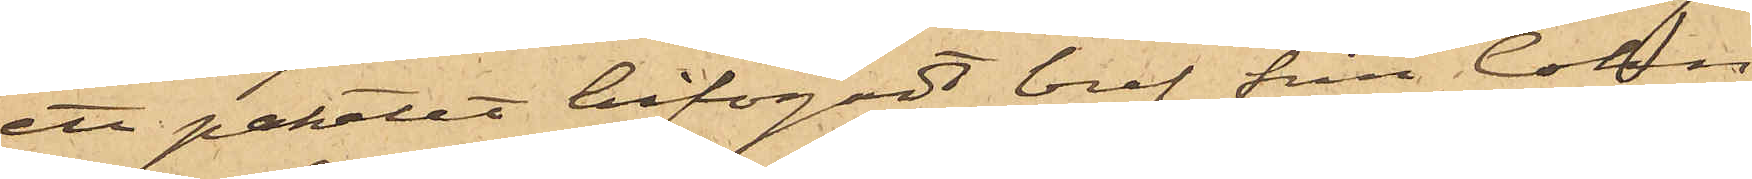ett paketet bifogadt bref från Cohn
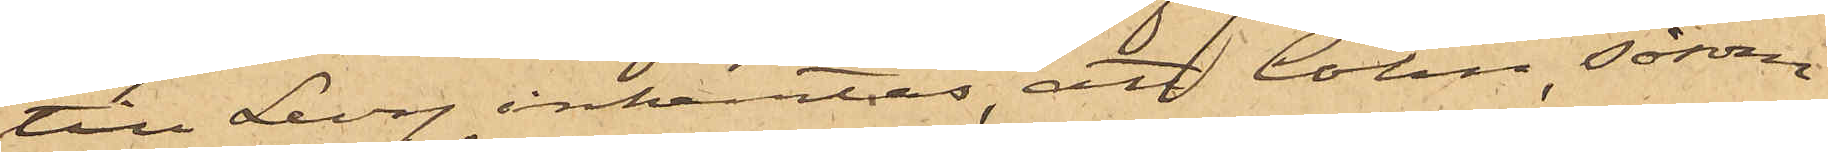till Levy inhemtas, att Cohn, såsom
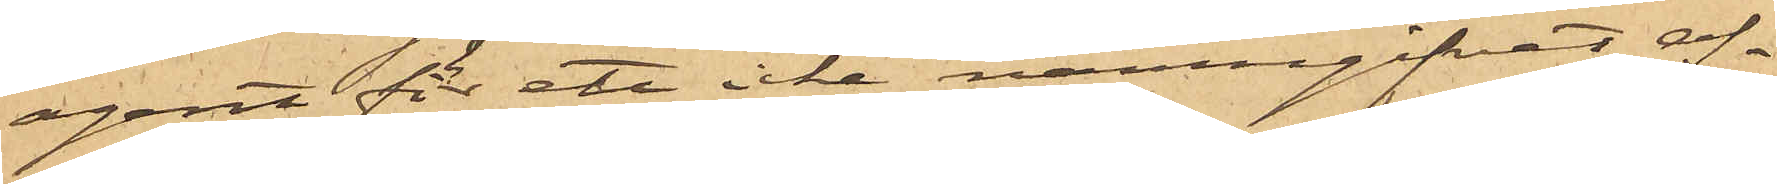agent för ett icke namngifvet af¬
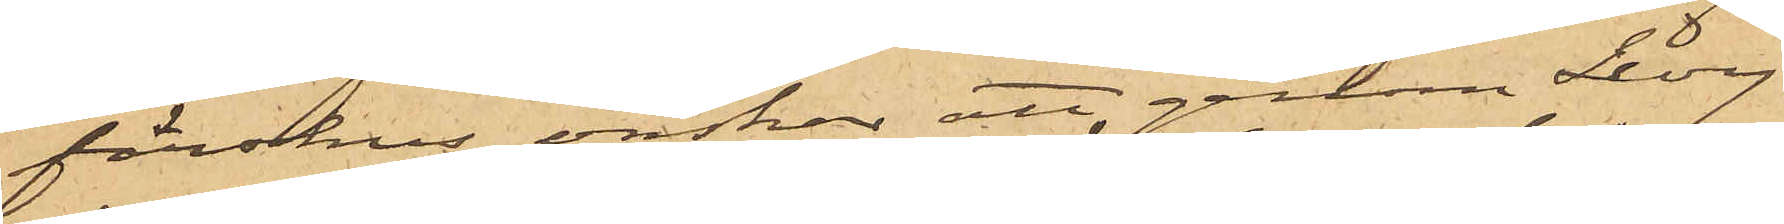färshus, önskar att genom Levy
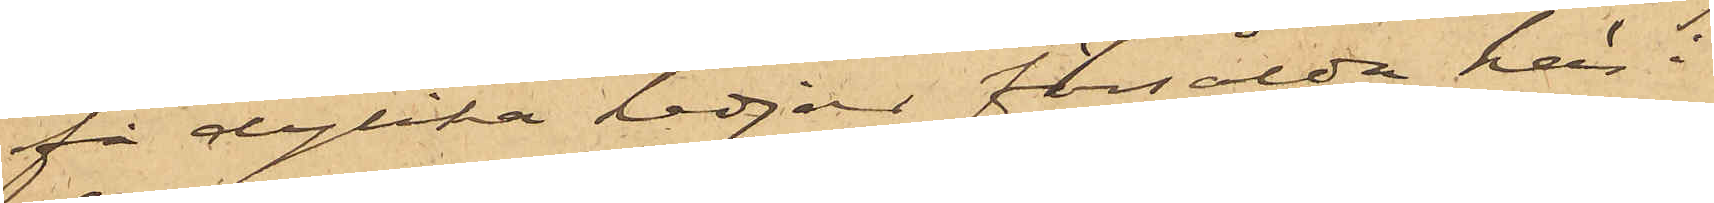få dylika kedjor försålda här i
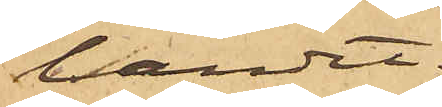landet.
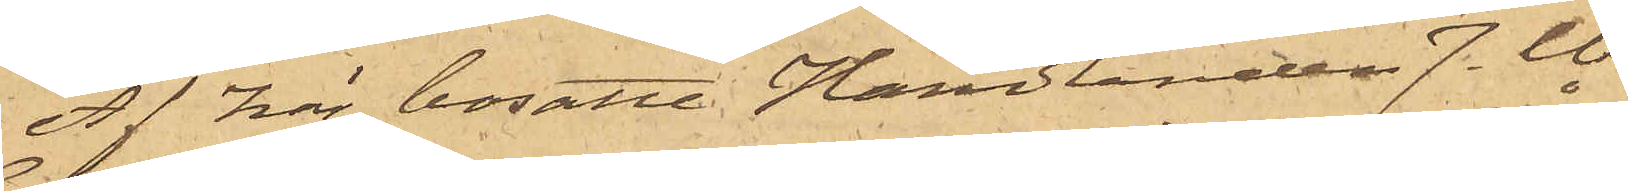Af här bosatte Handlanden J. W.
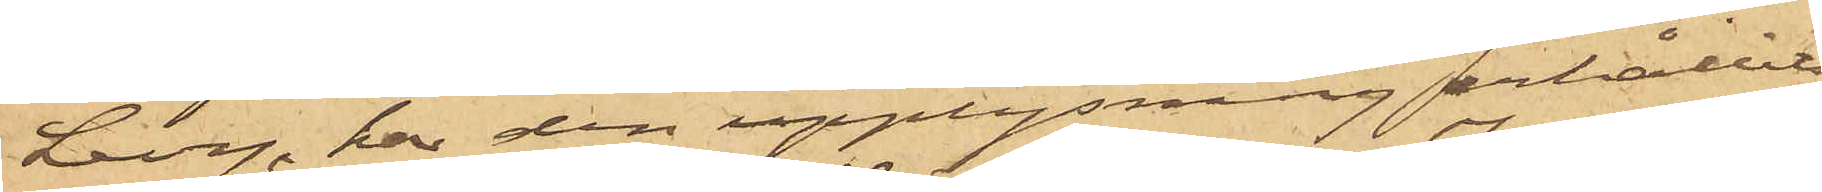Levy, har den upplysning erhållits,
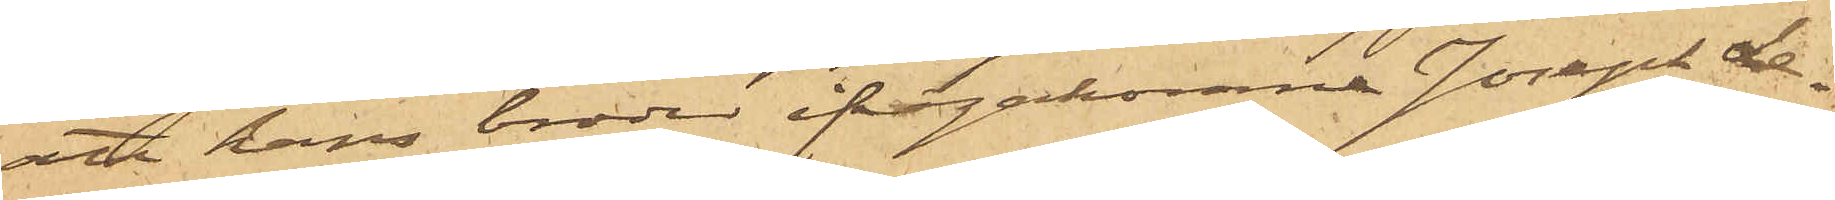att hans broder ifrågakomne Joseph Le¬
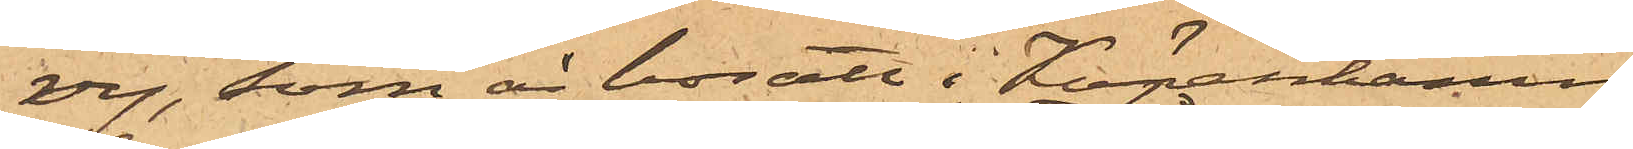vy, som är bosatt i Köpenhamn,
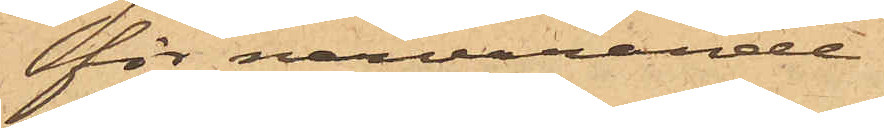för närvarande
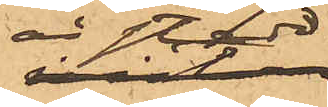är stadd
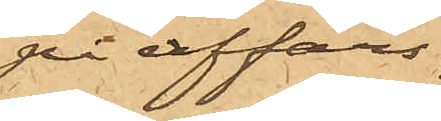på affärs¬
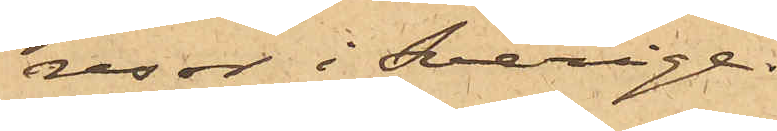resor i Sverige.
